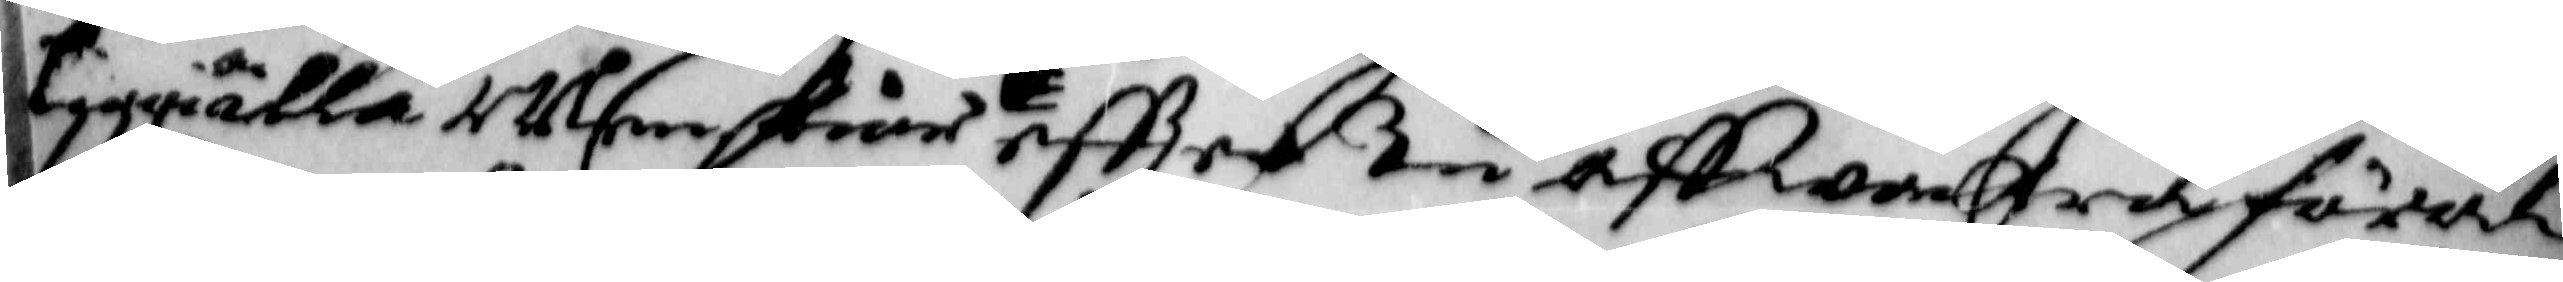Tiggiälla Menskior effter tu aff wackra föräl¬
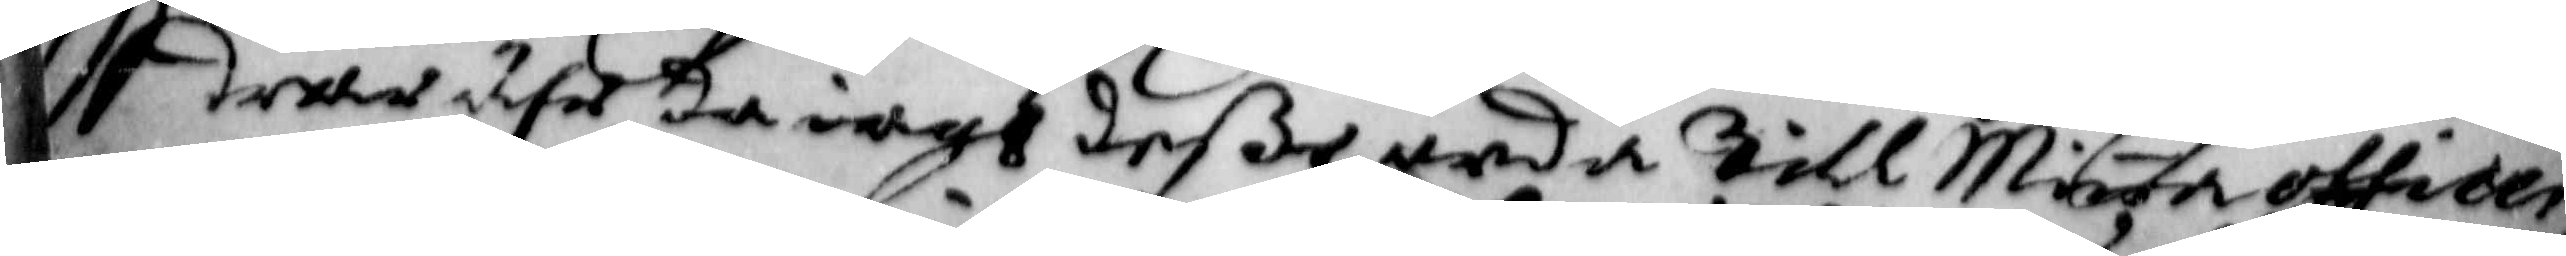drar ähr da iagh deße orda till Minna officer,
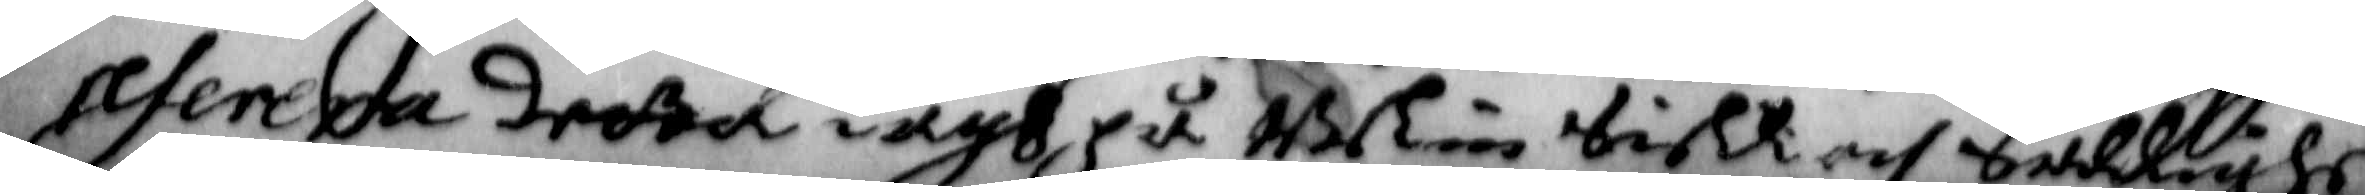referera detta iagh på Min Siell och Sallighet
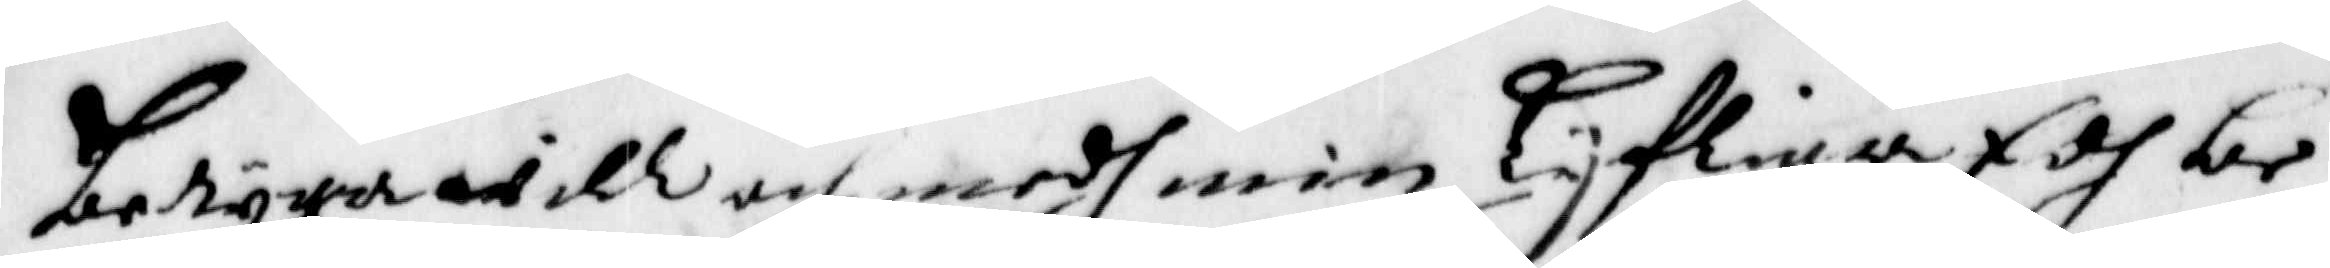betyga will och medh min Lijfliga Edh be¬
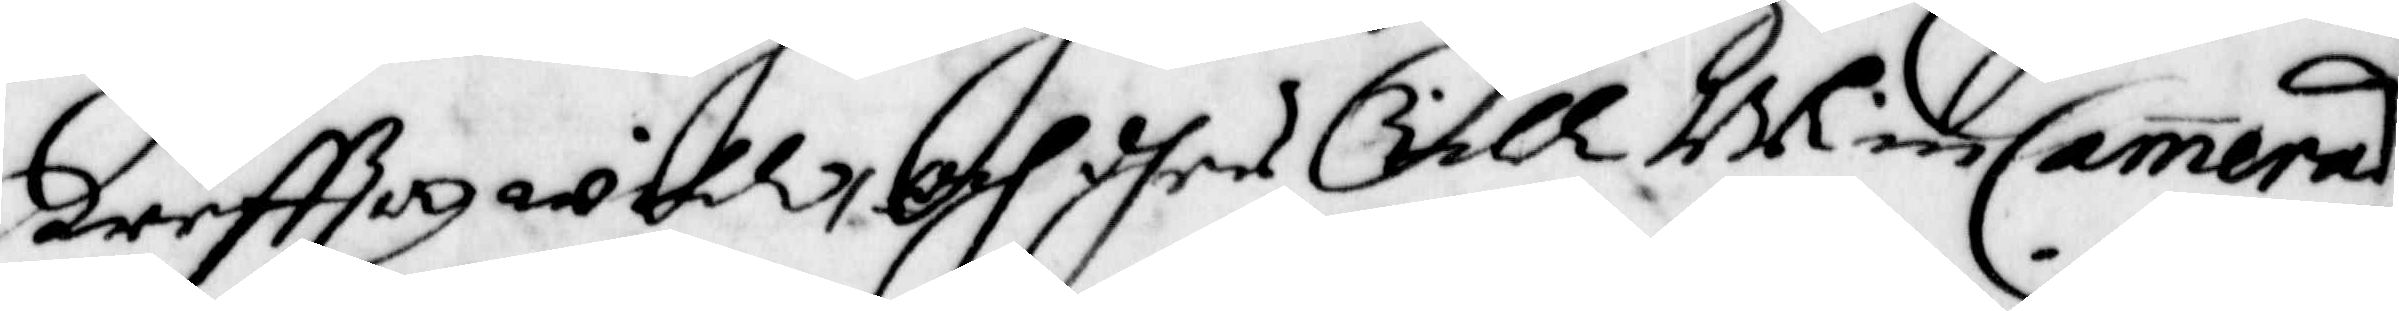kreffta will, Och dher till Bli in Cammerad
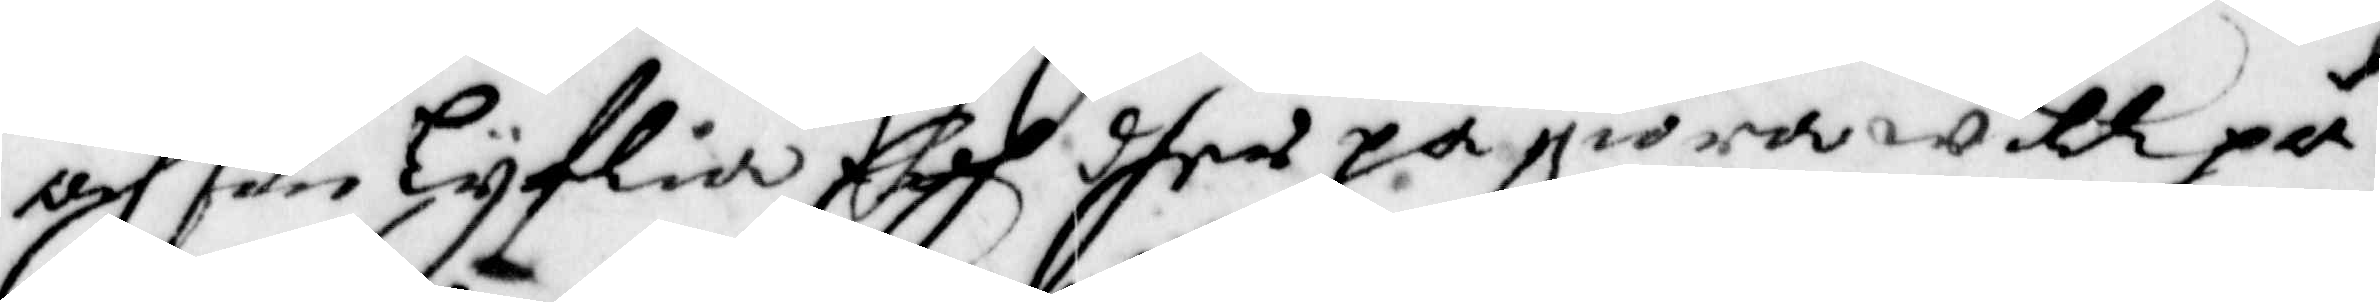och sin Lijflia Edh dher på giöra will på
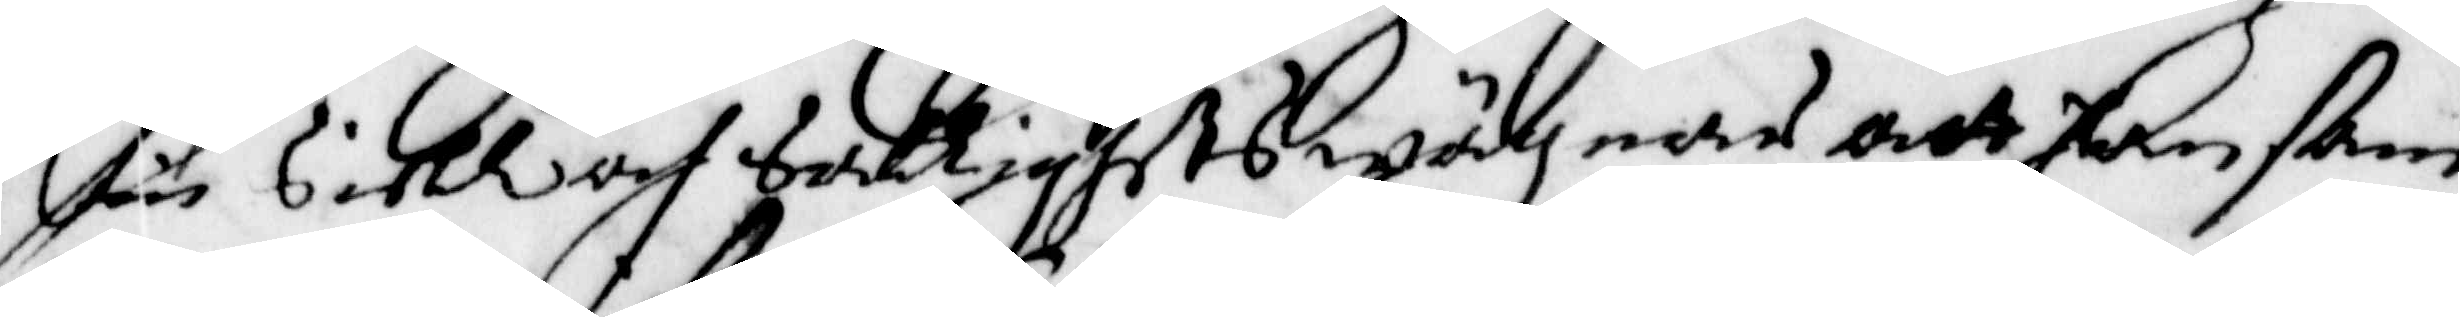sin Siell och Sallighets wägnar att han sam¬
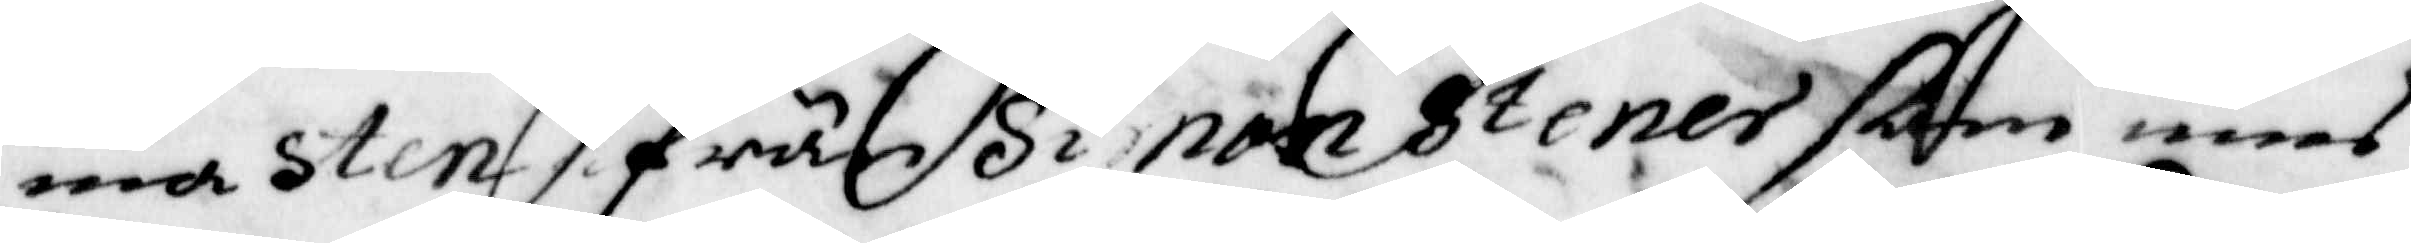ma sten från Simon Stener som inne
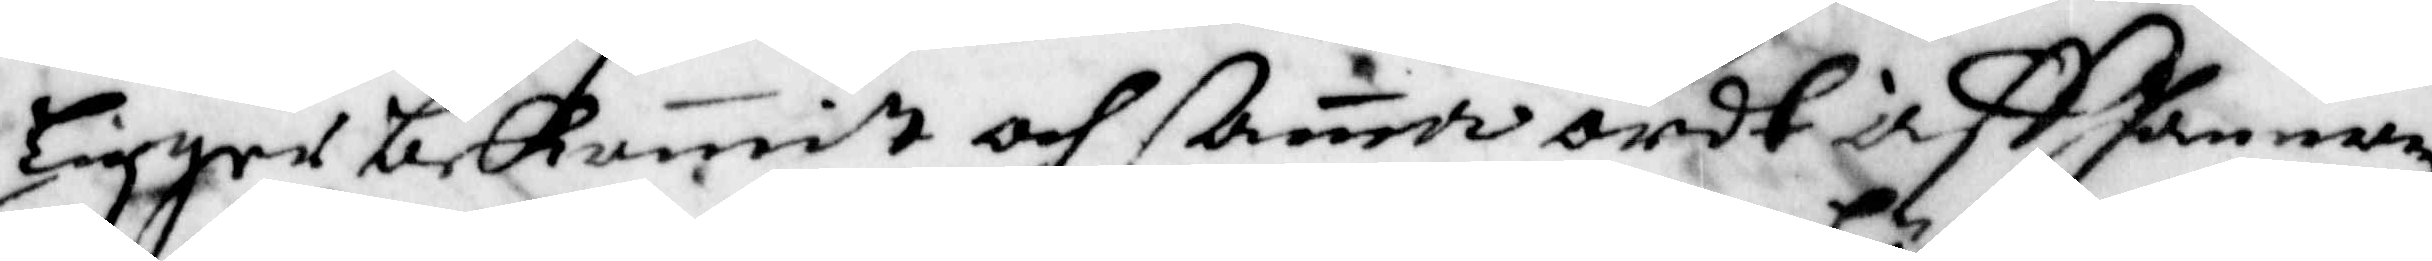ligger bekommit och samma ordh aff honnom
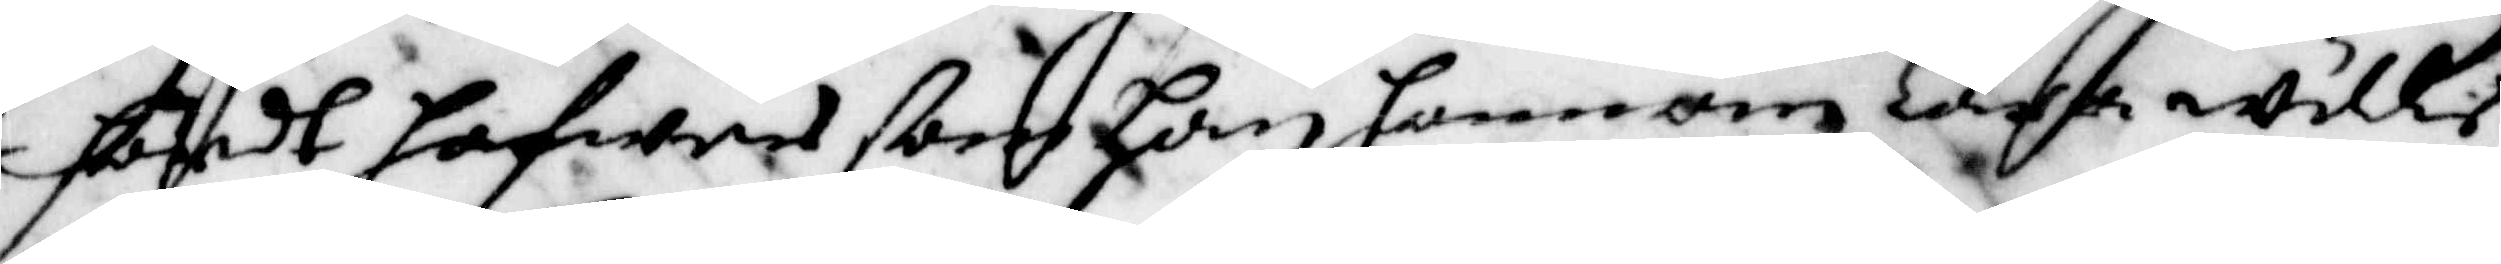hördt hafwer som han honom Lära wille
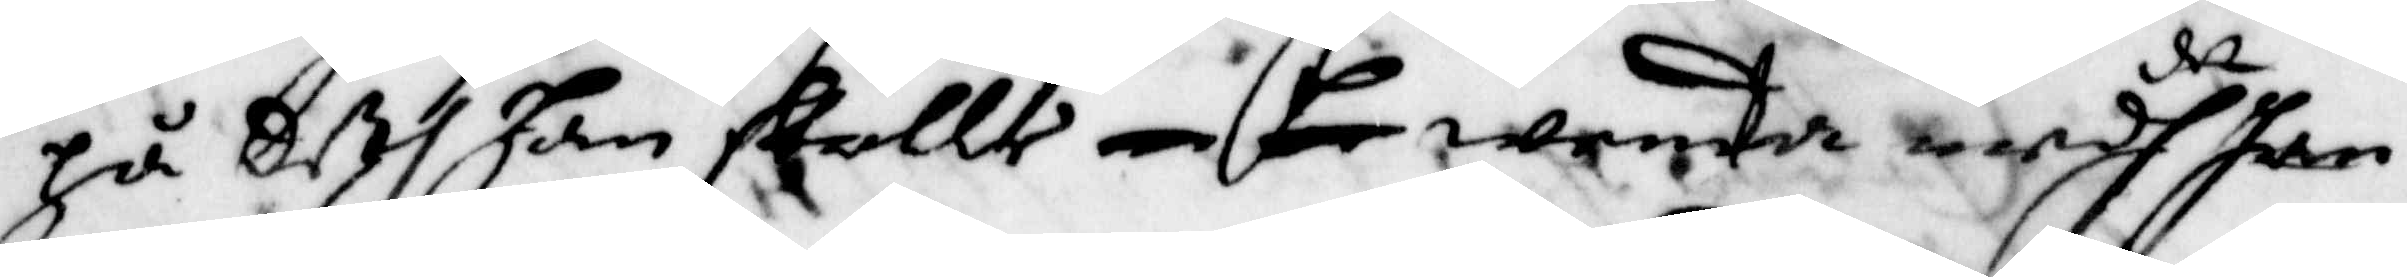på deth han skulle icke wenta medh det han
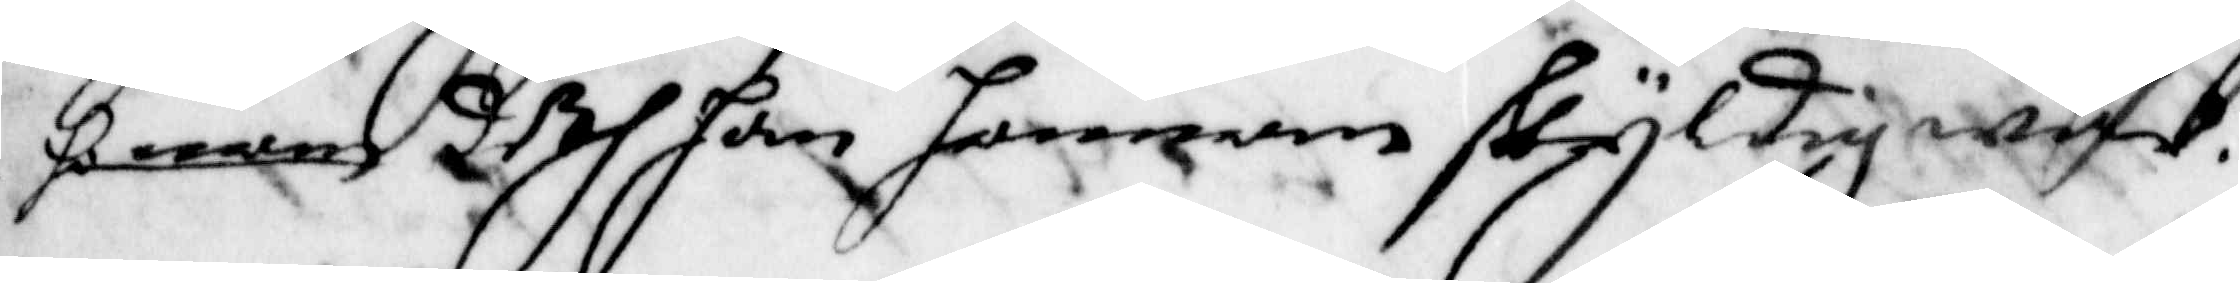honom deth han honnom skyldig war.
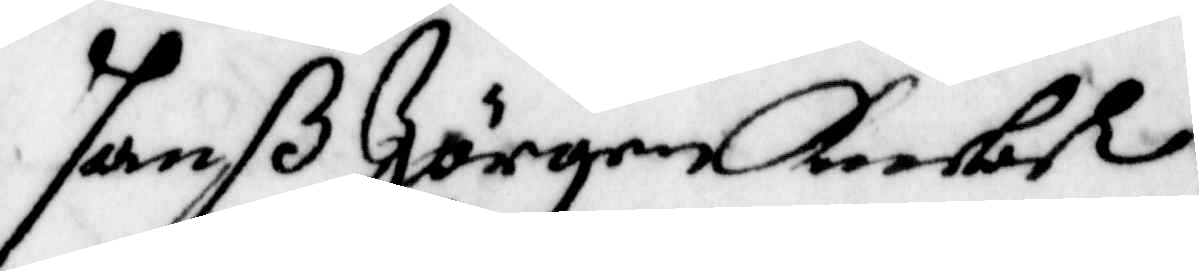Hanß Jörgen Knebel
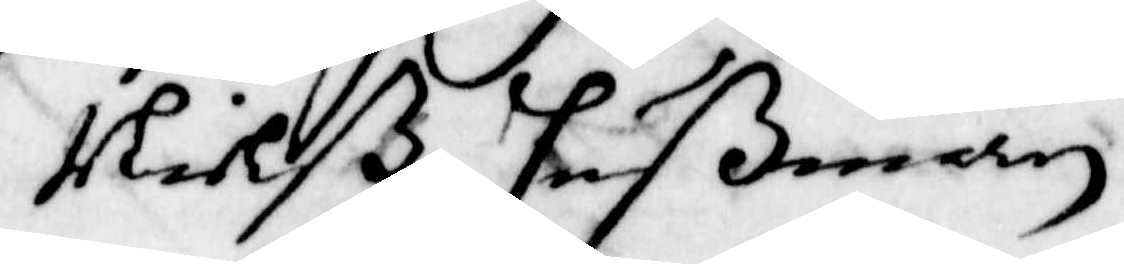Nilß Hußman
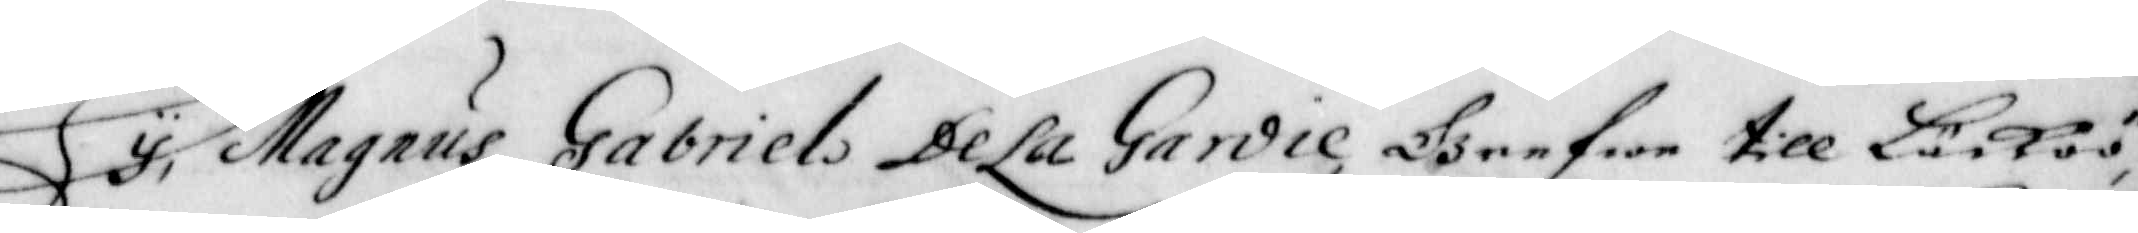Wij, Magnus Gabriel De La Gardie, Grefwe till Läcköö,
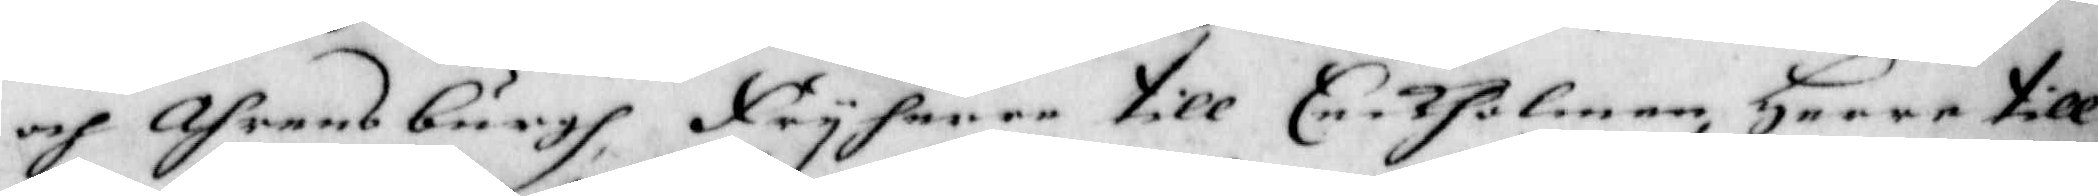och Ahrens burgh, Friherre till Eeckholmen, Herre till
